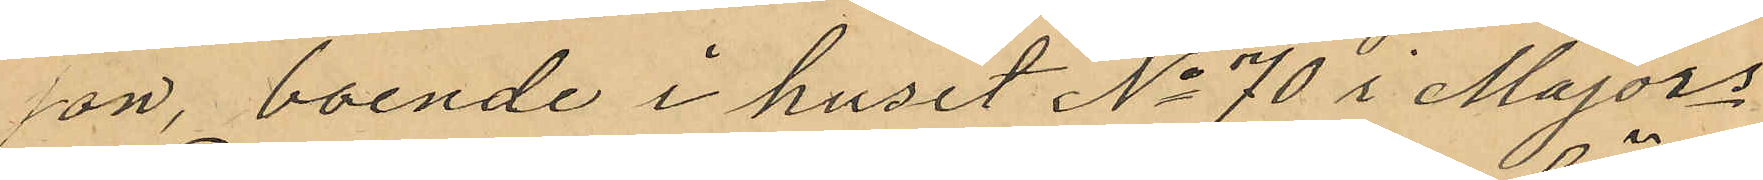son, boende i huset No 70 i Majors
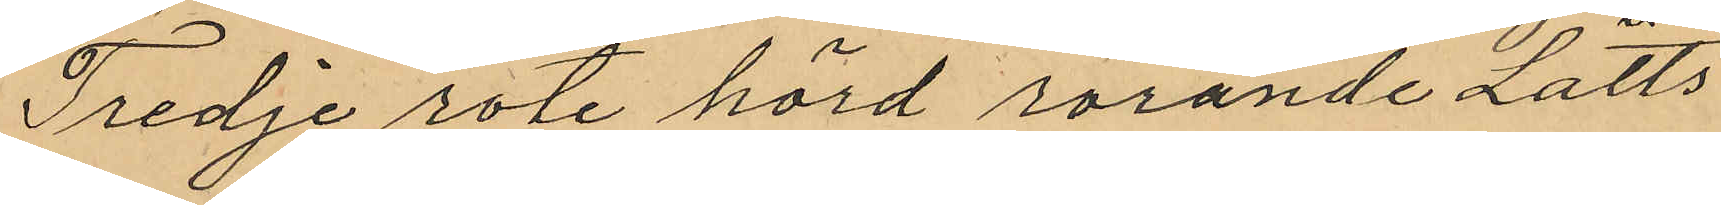Tredje rote hörd rörande Lätts
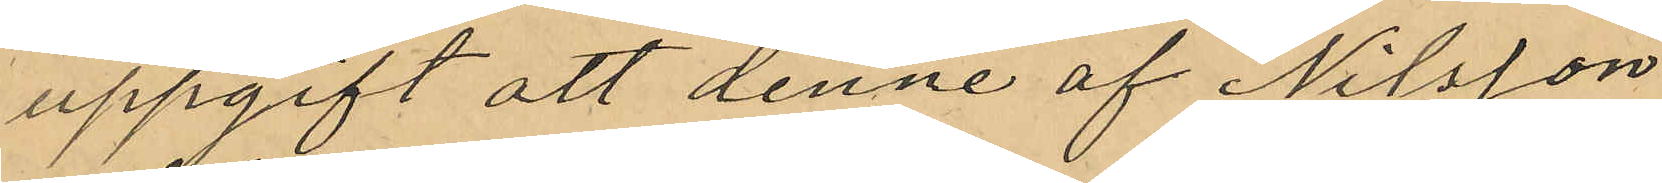uppgift att denne af Nilsson
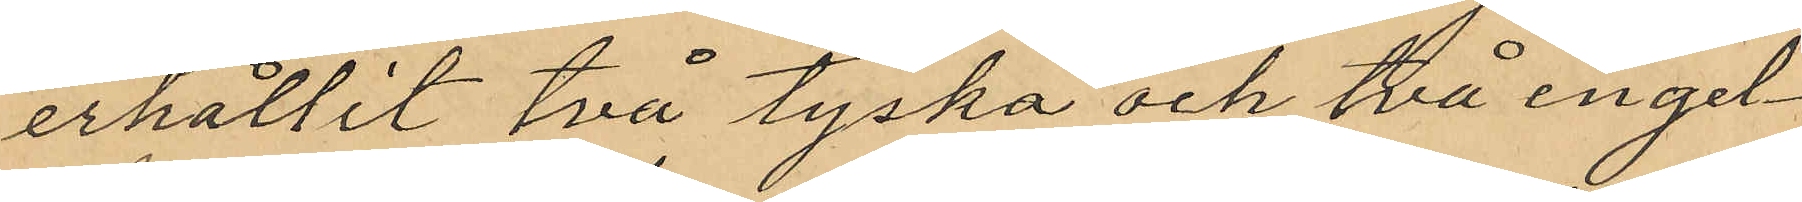erhållit två tyska och två engel¬
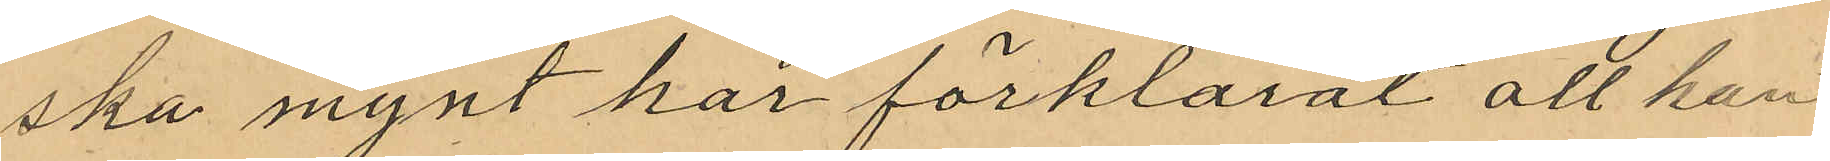ska mynt har förklarat att han
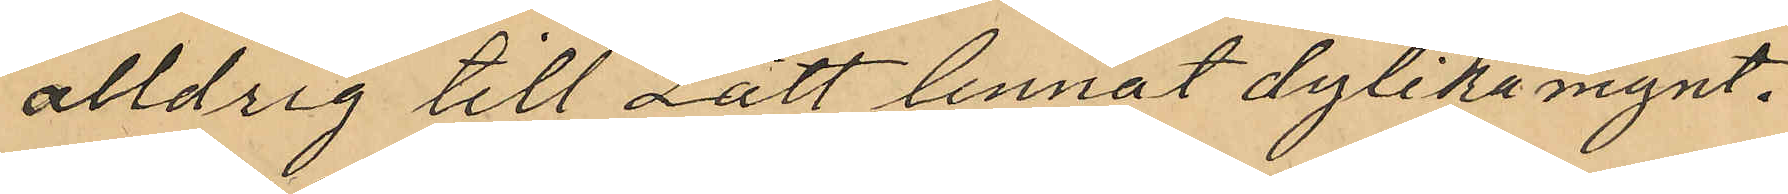alldrig till Lätt lennat dylika mynt.
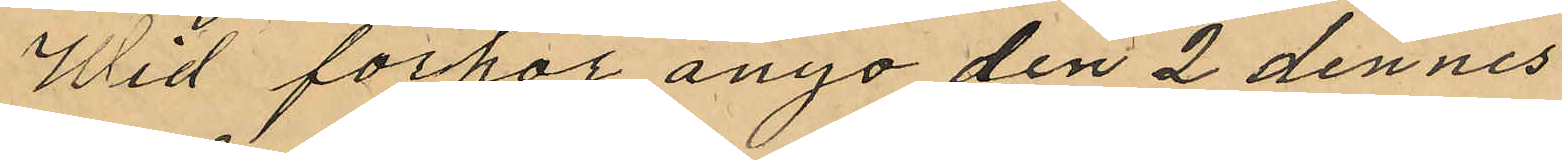Wid förhör ånyo den 2 dennes
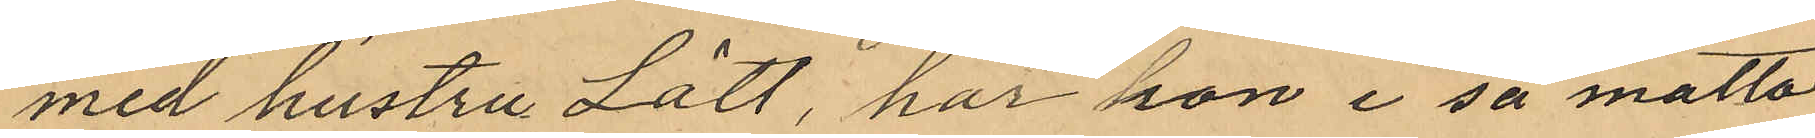med hustru Lätt, har hon i så måtto
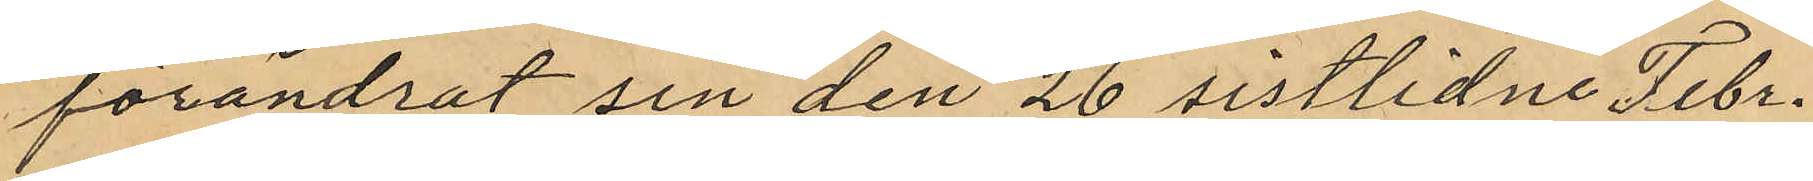förändrat sin den 26 sistlidne Febr.
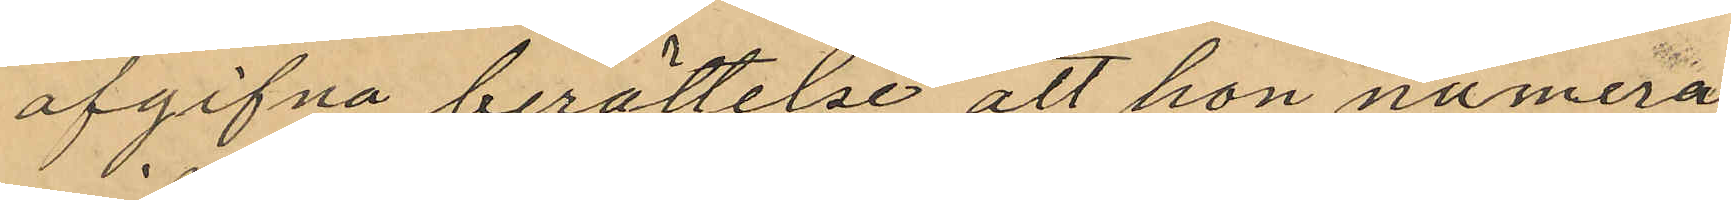afgifna berättelse att hon numera
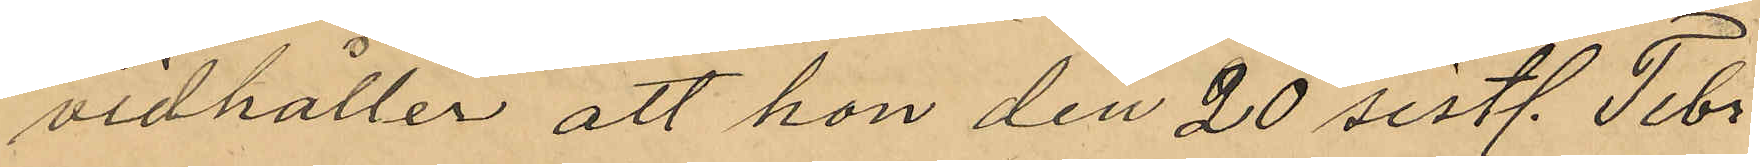vidhåller att hon den 20 sistl. Febr
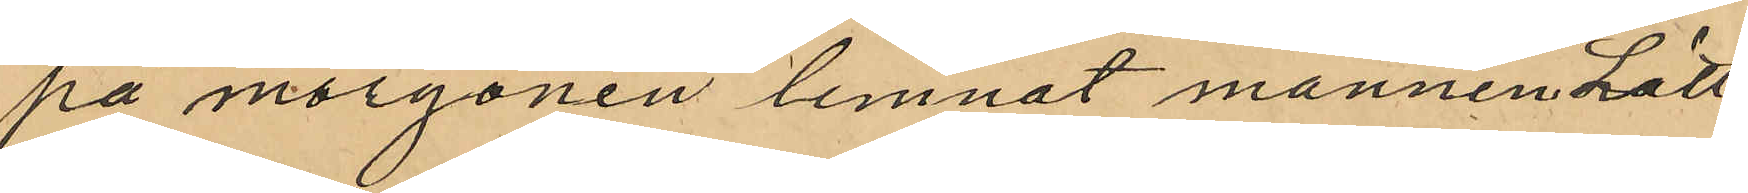på morgonen lemnat mannen Lätt¬
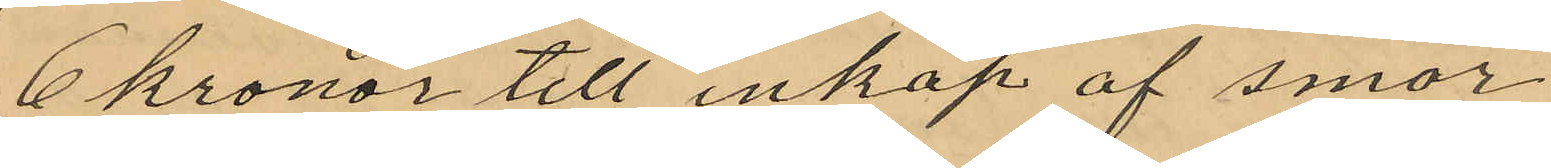6 kronor till inköp af smör
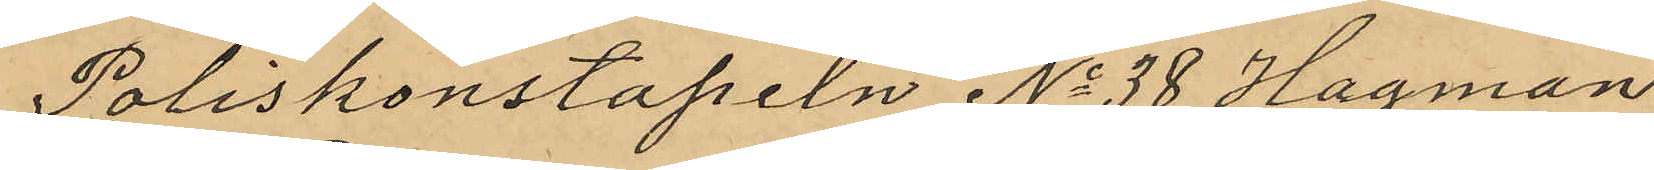Poliskonstapeln No 38 Hagman
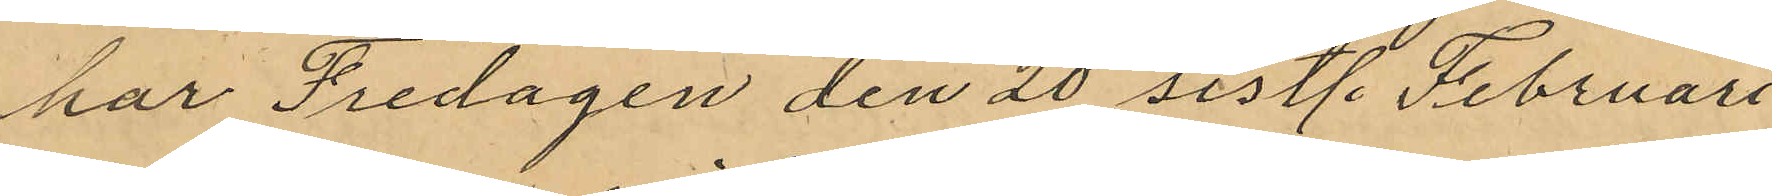har Fredagen den 20 sistl. Februari
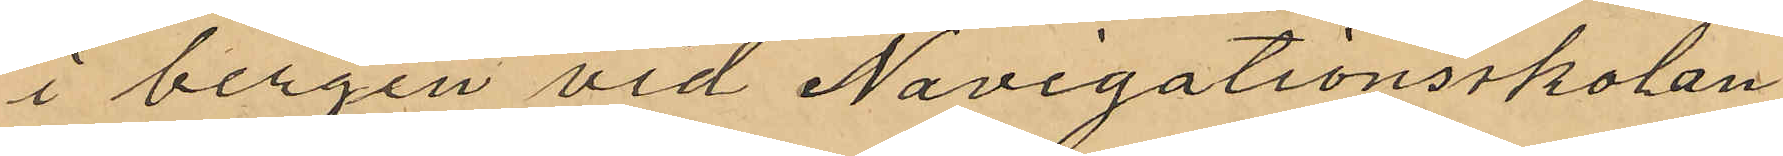i bergen vid Navigationsskolan
